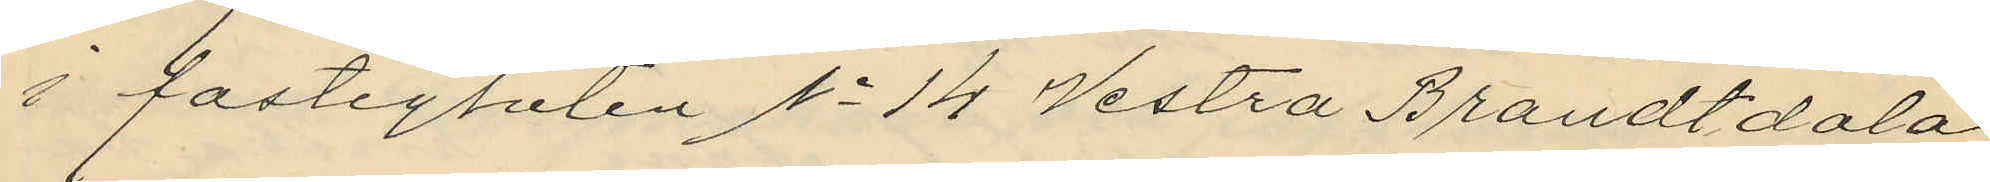i fastigheten No 14 Vestra Brandtdala
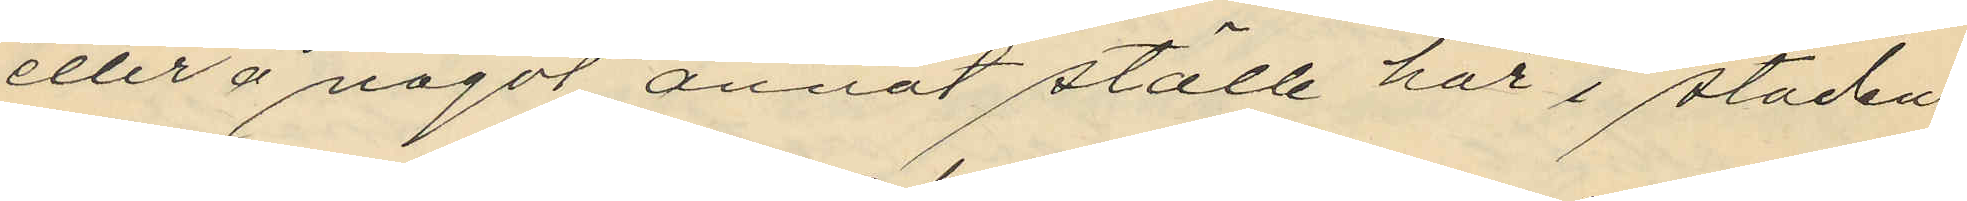eller å något annat ställe här i staden
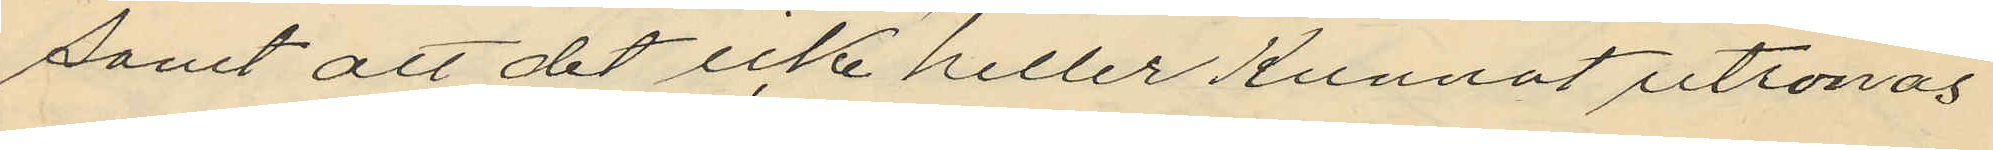samt att det icke heller kunnat utrönas
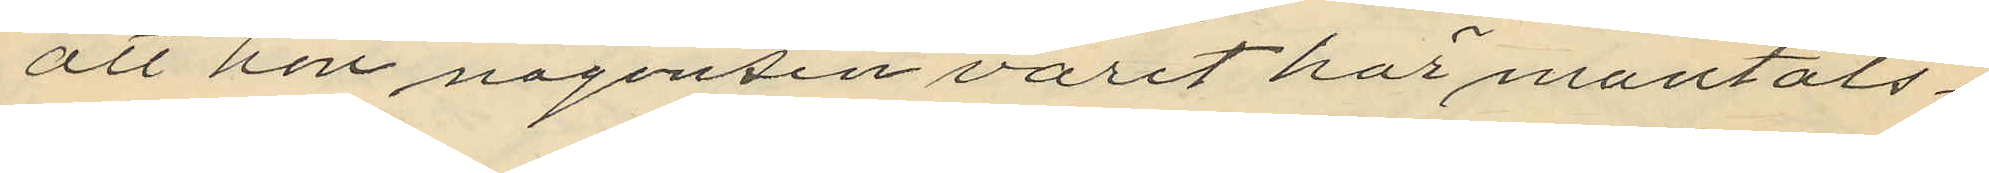att hon någonsin varit har mantals¬
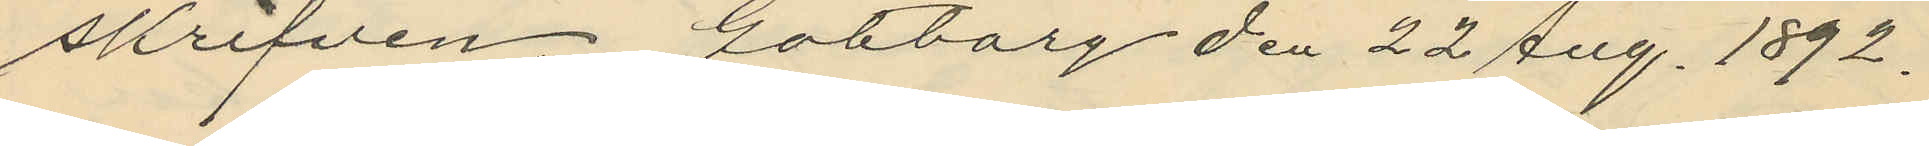skrifven. Göteborg den 22 Jug. 1892.
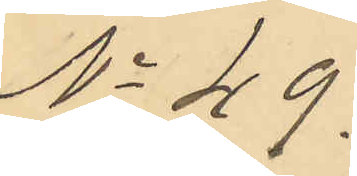No 49.
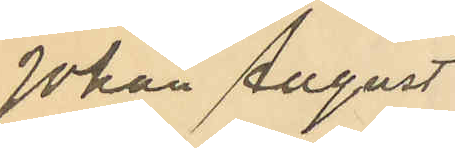Johan August
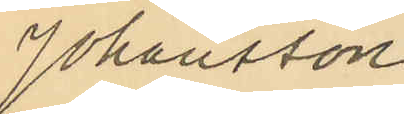Johansson
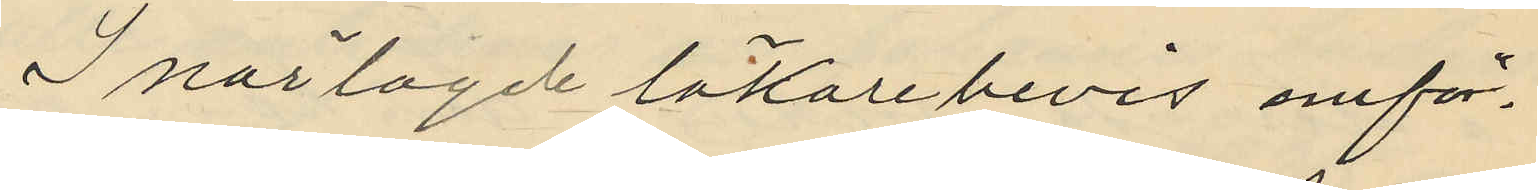I närlagde läkarebevis omför¬
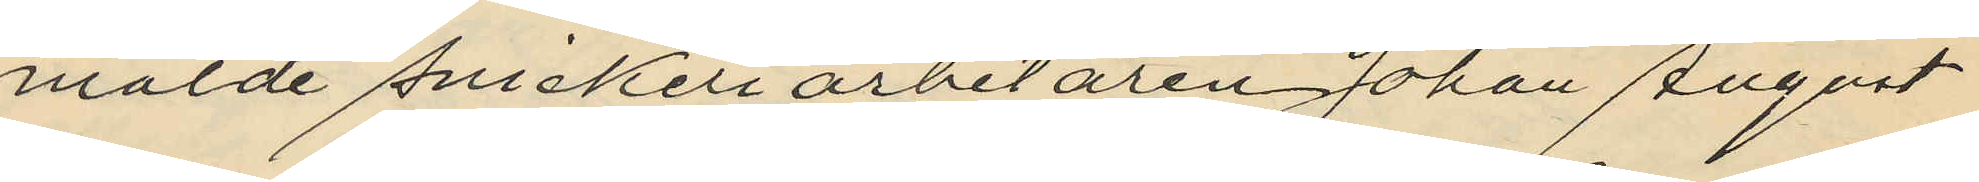mälde snickeriarbetaren Johan August
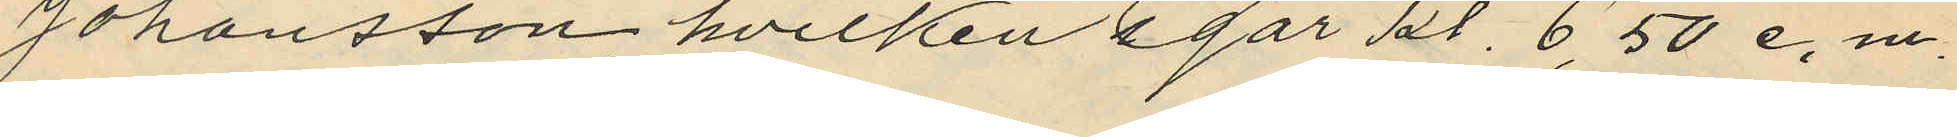Johansson, hvilken i går kl. 6,50 e.m.
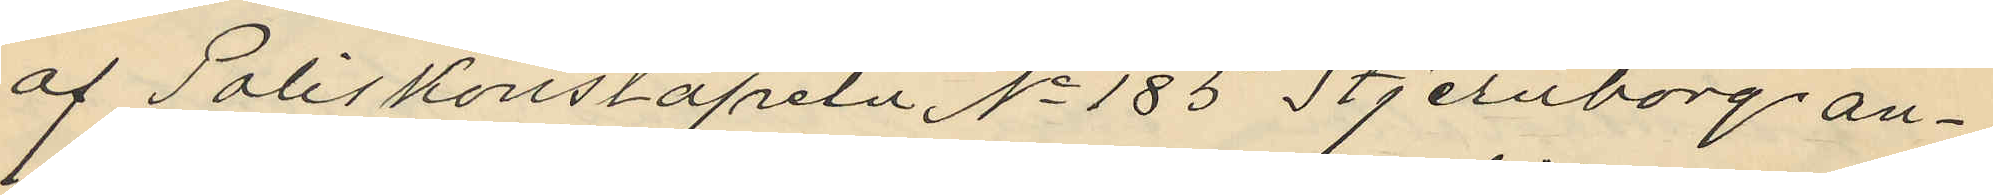af Poliskonstapeln No 185 Stjernborg an¬
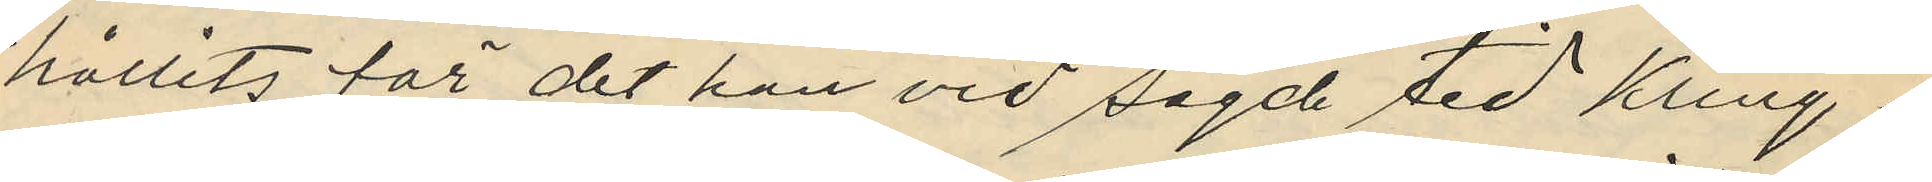hållits för det han vid sagde tid kring¬
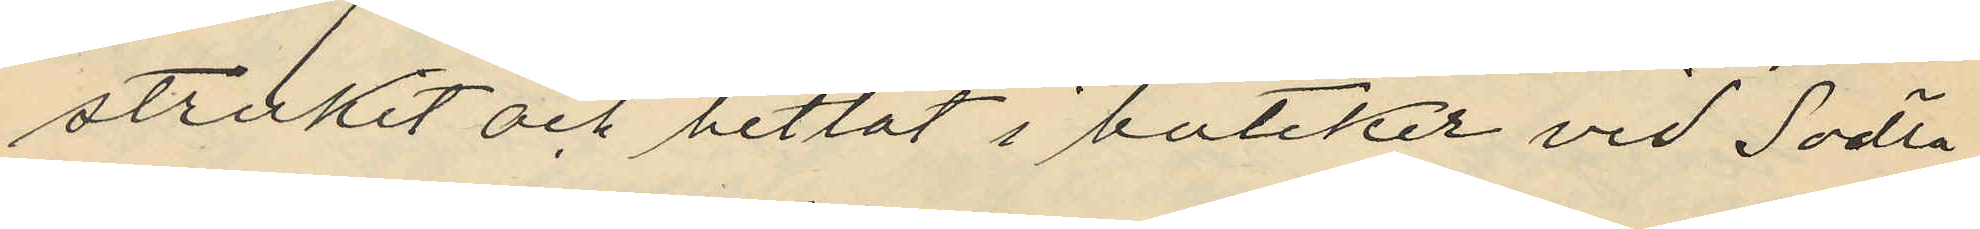strukit och betlat i butiker vid Södra
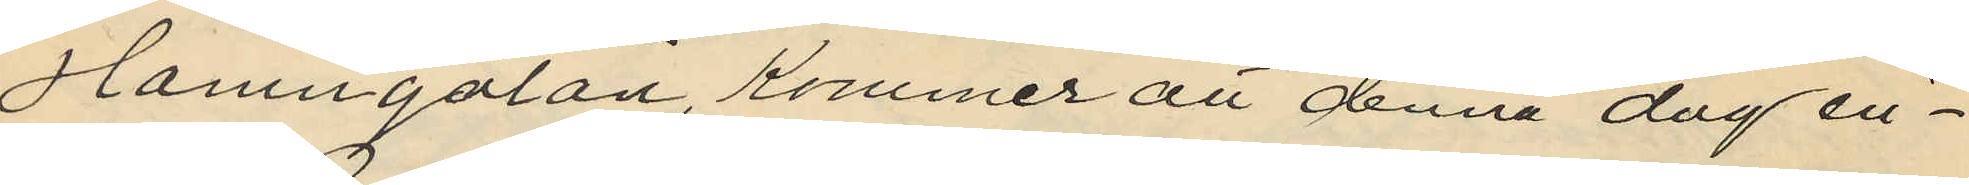Hamngatan, kommer att denna dag in¬
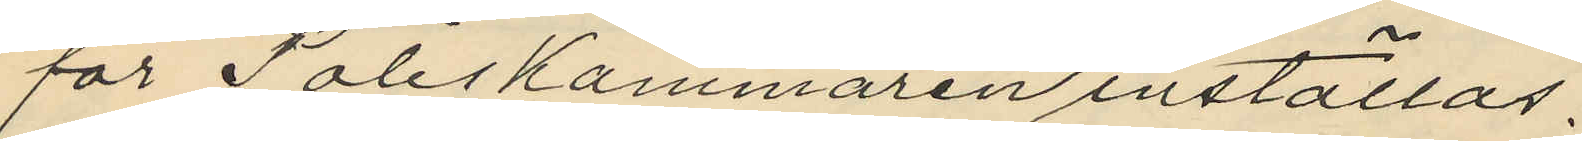för Poliskammaren inställas.
